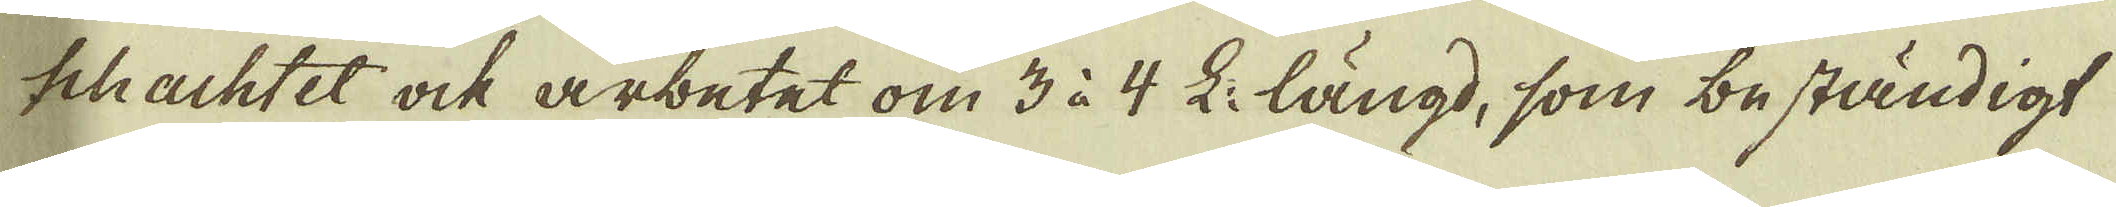schachtet ock arbetet om 3 à 4 L: längd, som beständigt
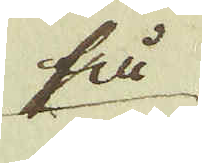få
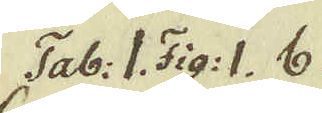Tab: I Fig. I. b.
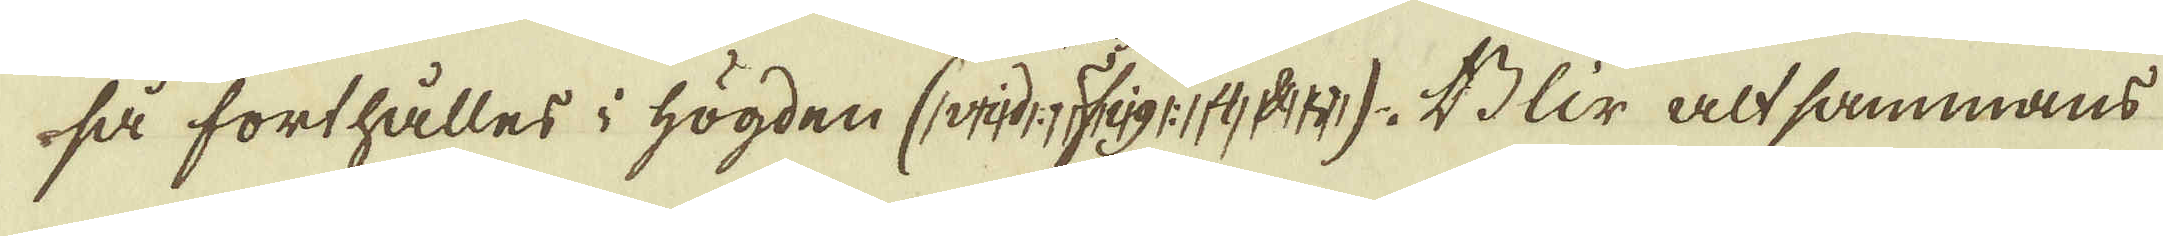så forthålles i högden (vid Fig: 4 d:o). Blir altsammans
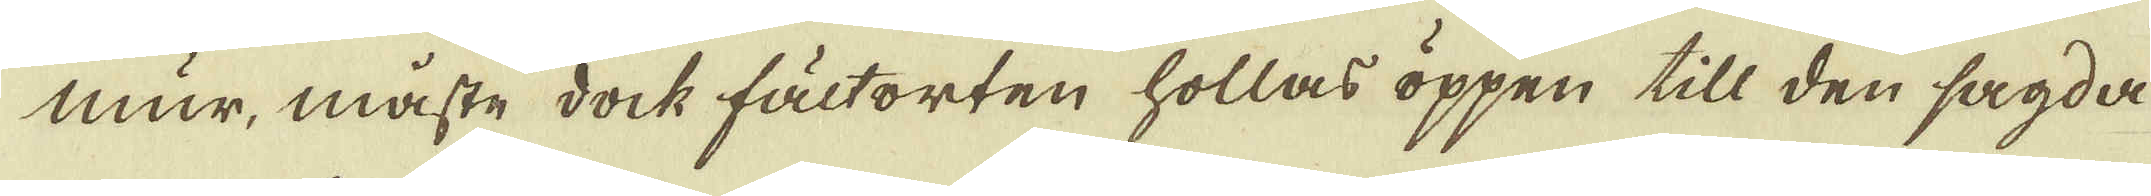mur, måste dock fältorten hollas oppen till den sagda
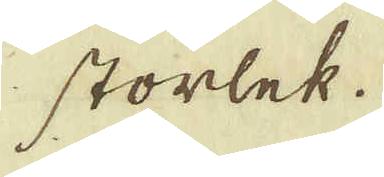storlek.
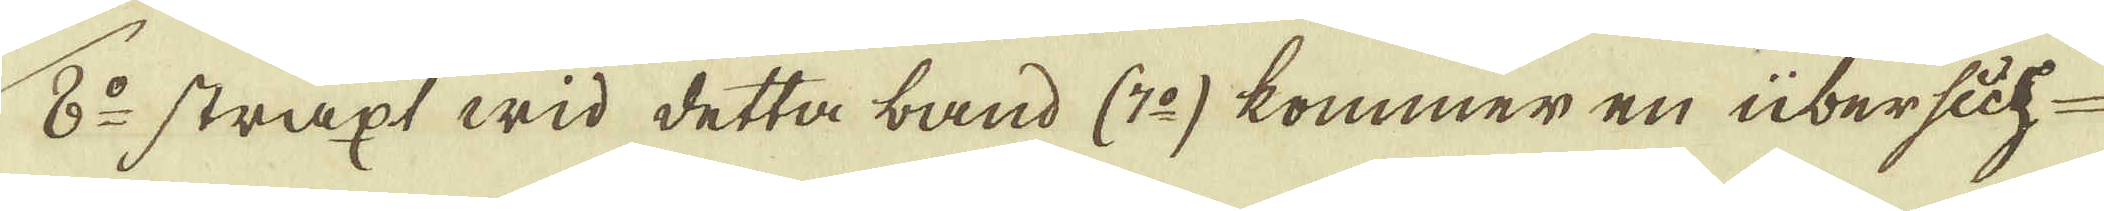8:o straxt wid detta band (7:o) kommer en übersich-
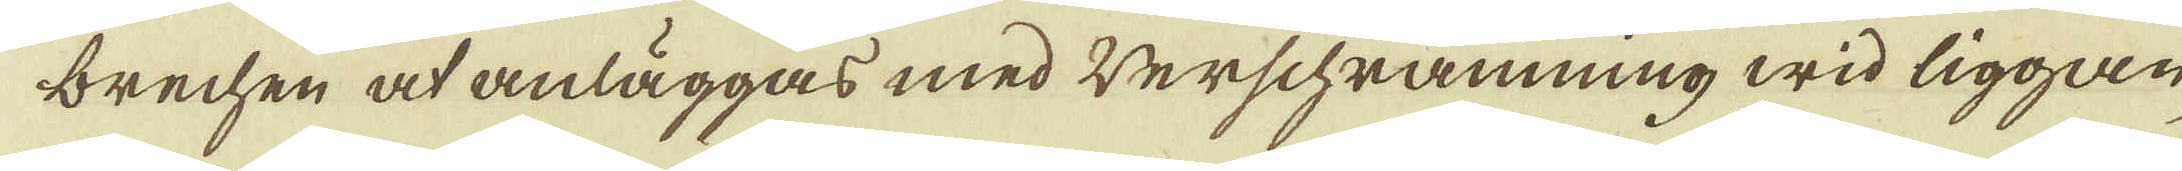brechen at anläggas med werschrämning wid liggan-
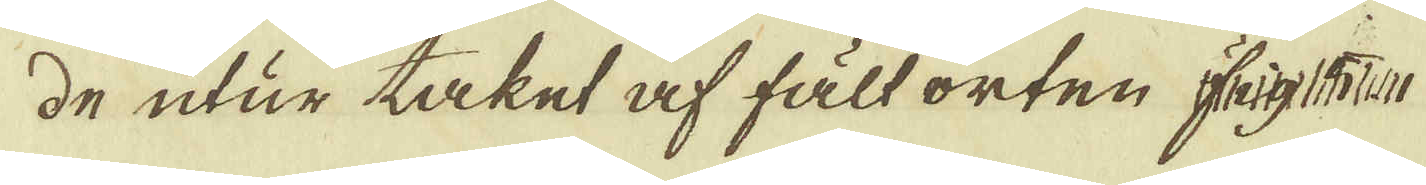de utur taket af fält orten Fig: 5
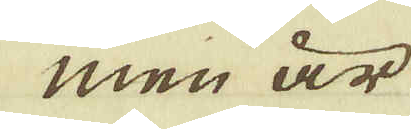men är
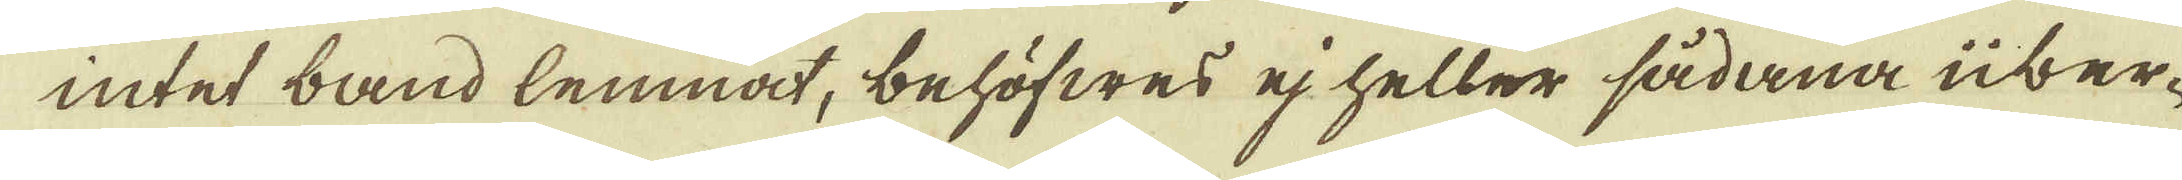intet band lemnat, behöfwes ej heller sådana über-
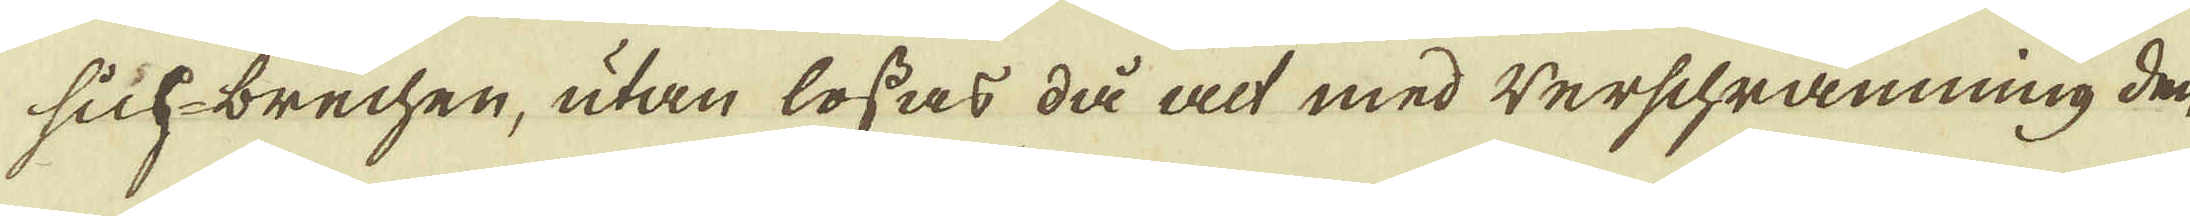sich-brechen, utan lossas då alt med werschrämning den
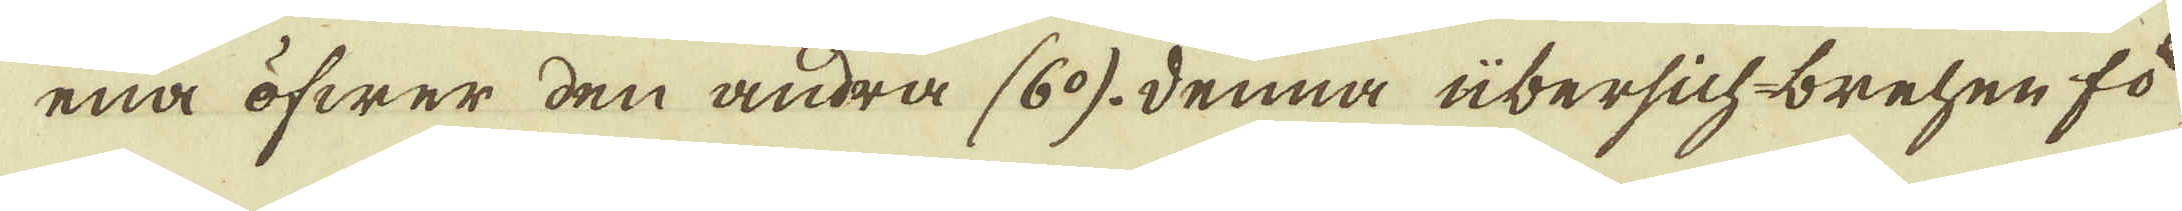ena öfwer den andra (6:o), denna übersich-brehen fö-
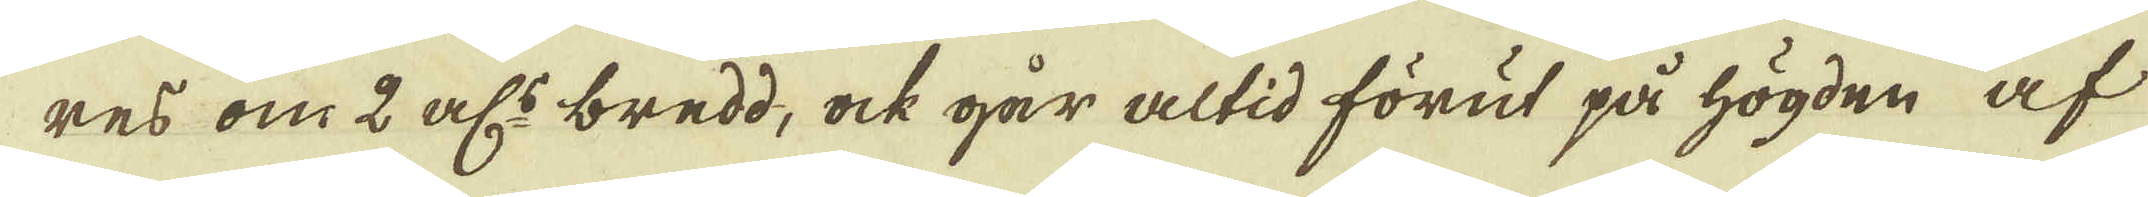res om 2 al:s bredd, ock går altid förut på högden af
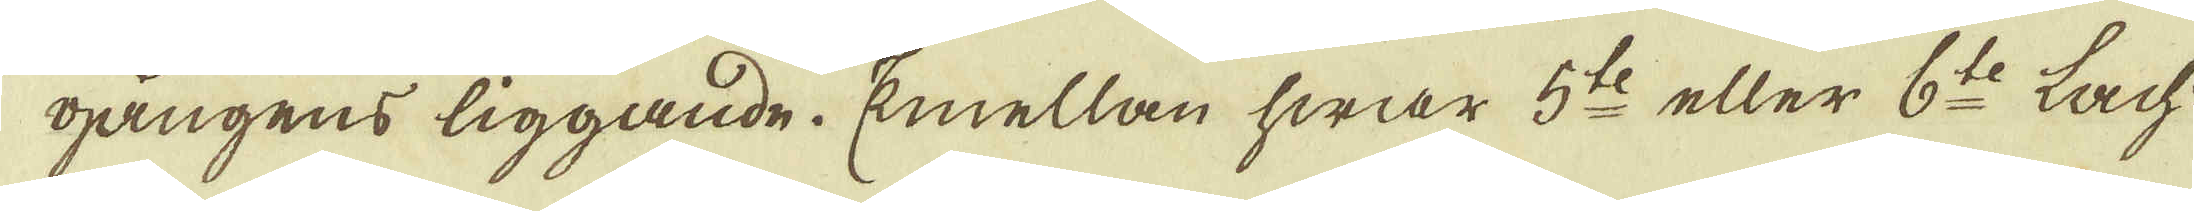gångens liggande. Emellan hwar 5:te eller 6:te Lach:
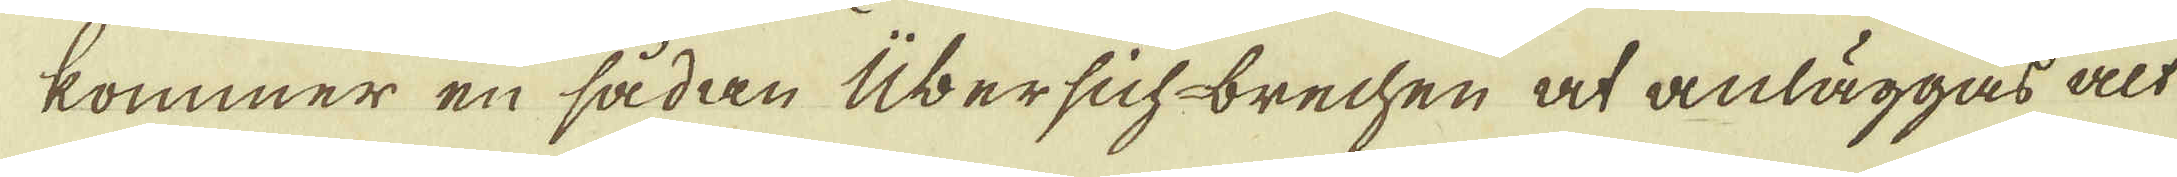kommer en sådan Übersich-brechen at anläggas alt
